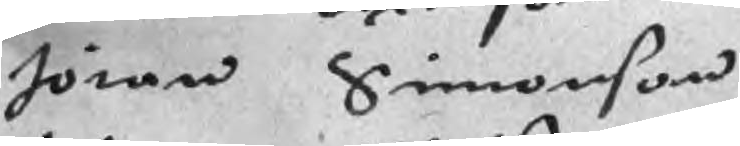Jöran Simonson
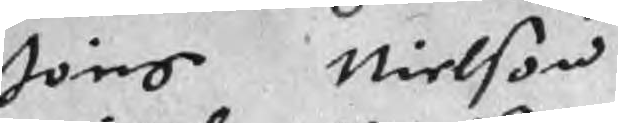Jöns Nielson
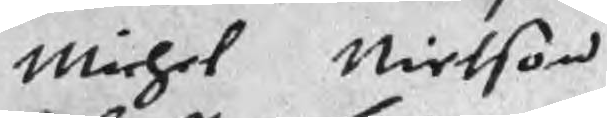michel Nielson
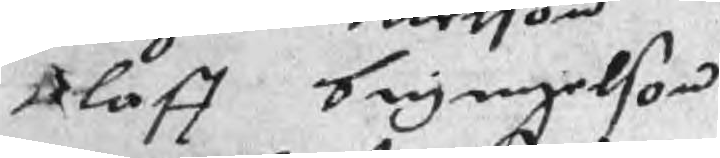Olaff bryngelson
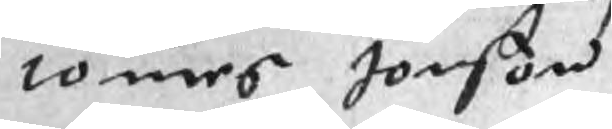tomes Jonson
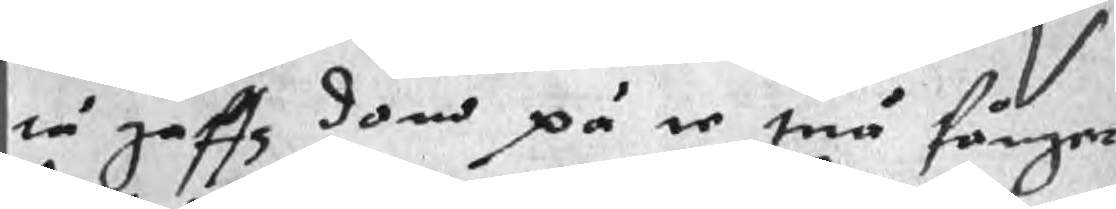tå gaffz doms på te tuå fånger
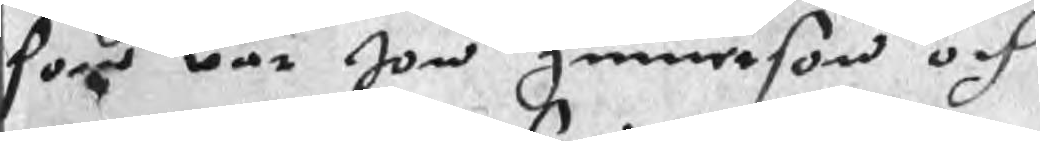som war Jon gunnerson och
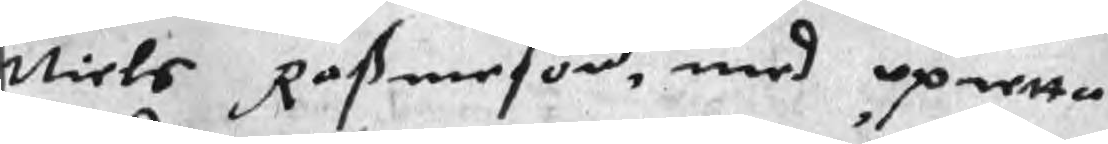Niels Raßmeson, med opretta
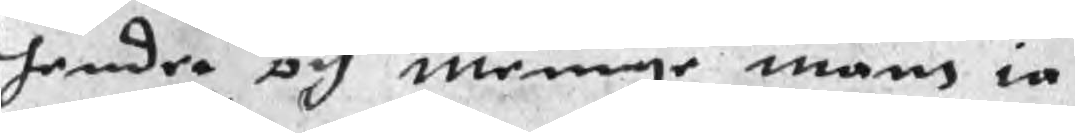hender och menige mäns ia
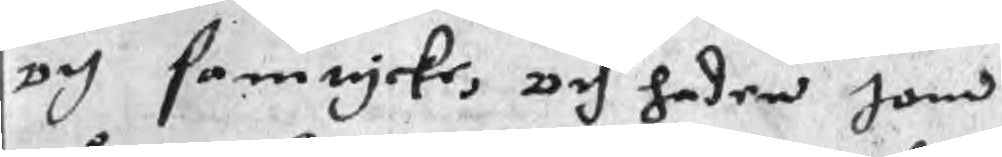och samtycke, och haden Jon
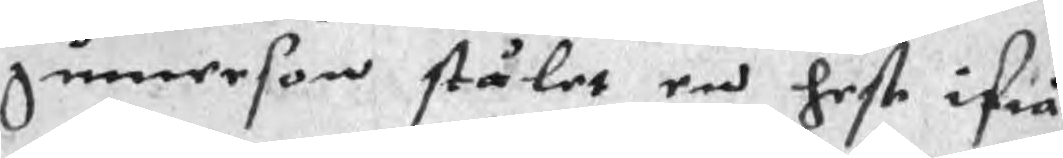gunnerson stålet en hest ifrå
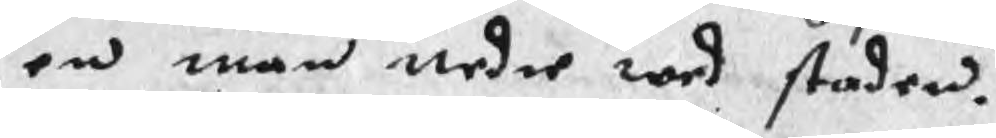en man nedre wed staden.
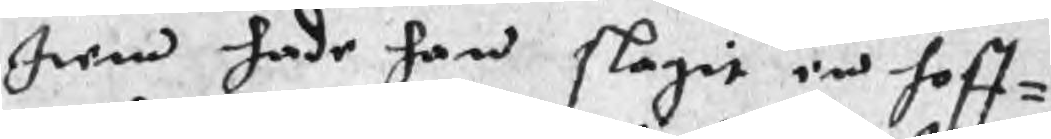Item hade han slagit en hoff¬
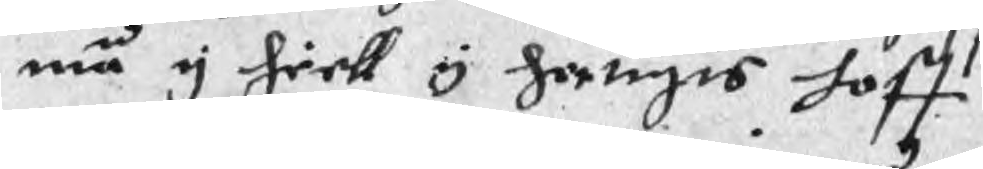man y hiell y hertigis hoff
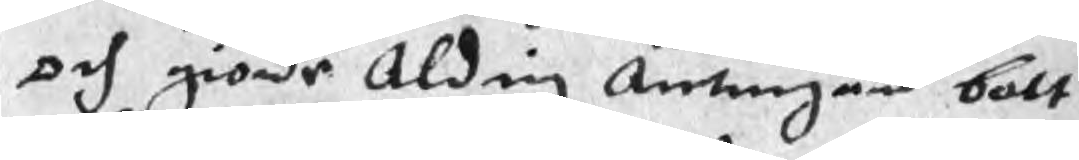och giorde Aldrig Antingen bott
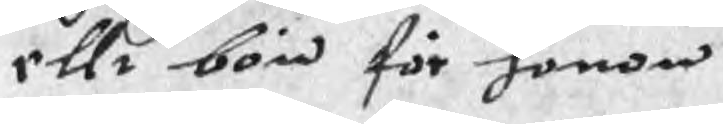ellr bön för honom
